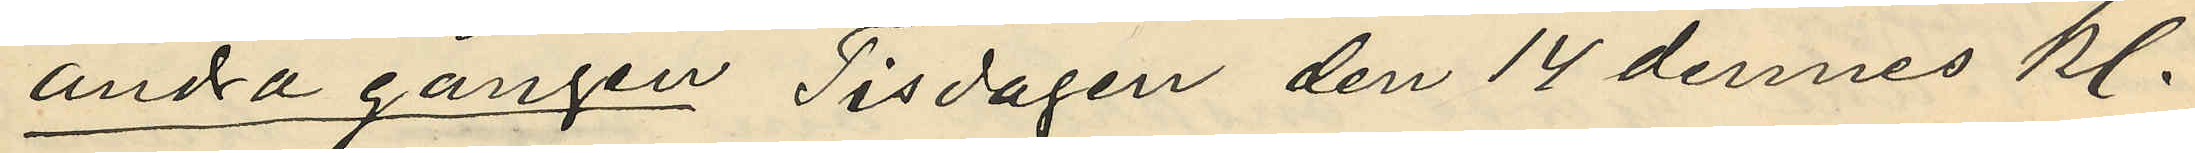andra gången Tisdagen den 14 dennes kl.
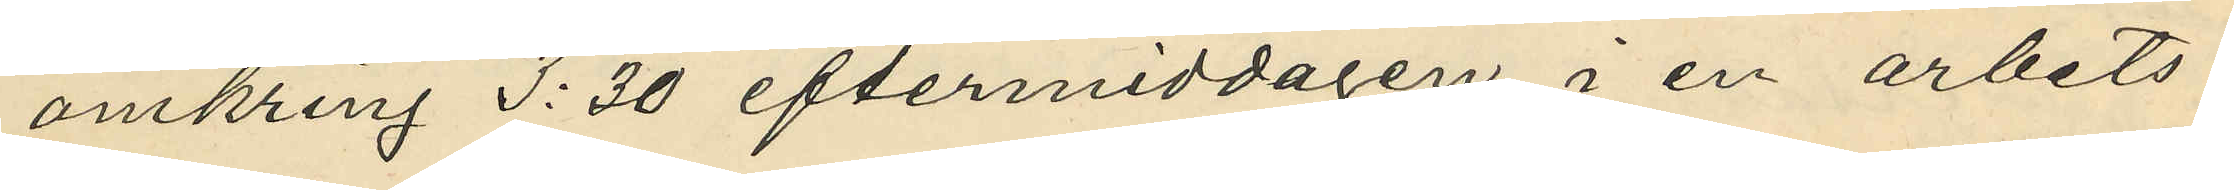omkring 3:30 eftermiddagen i en arbets¬
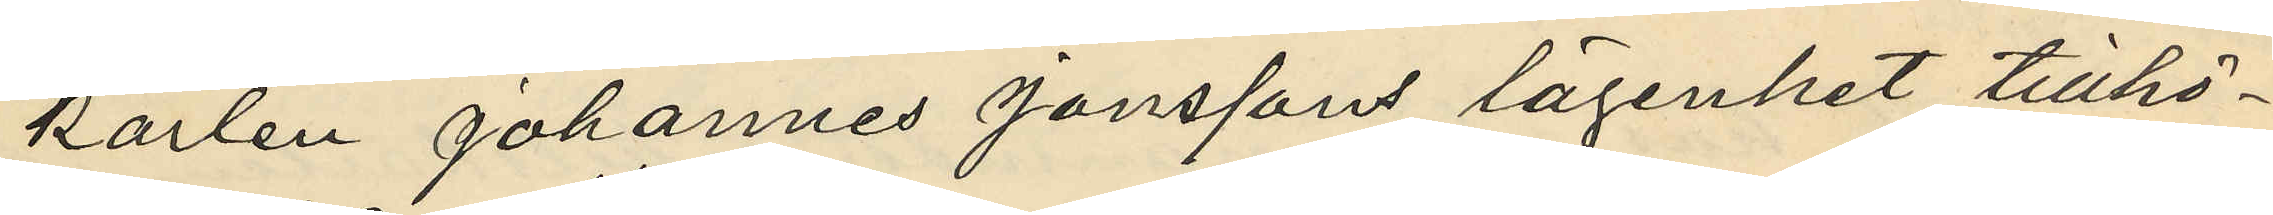karlen Johannes Jonssons lägenhet tillhö¬
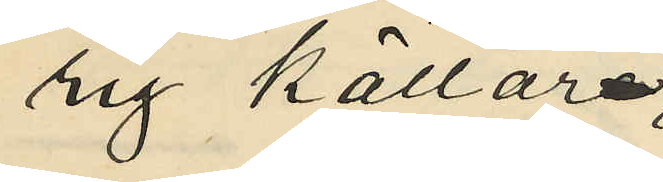rig källar¬
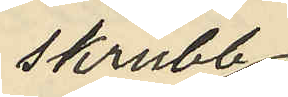skrubb
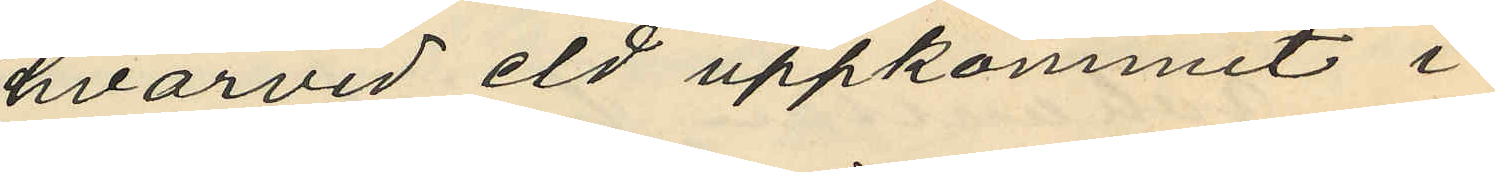hvarvid eld uppkommit i
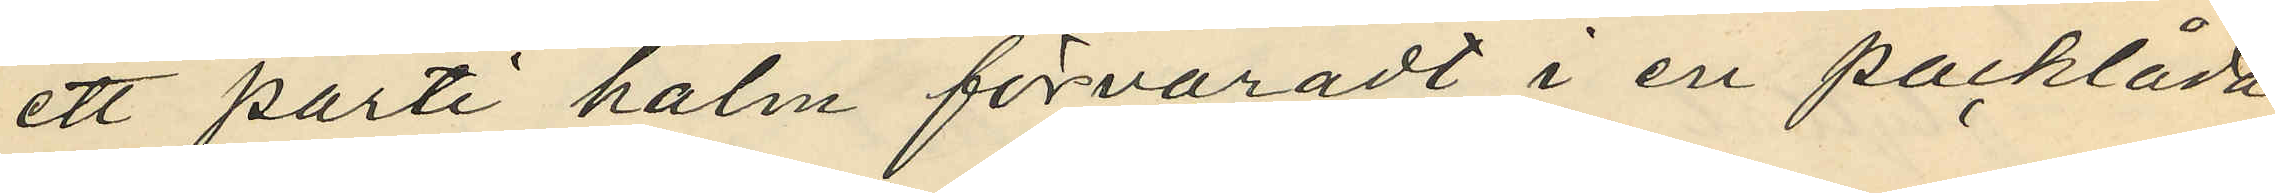ett parti halm förvaradt i en packlåda;
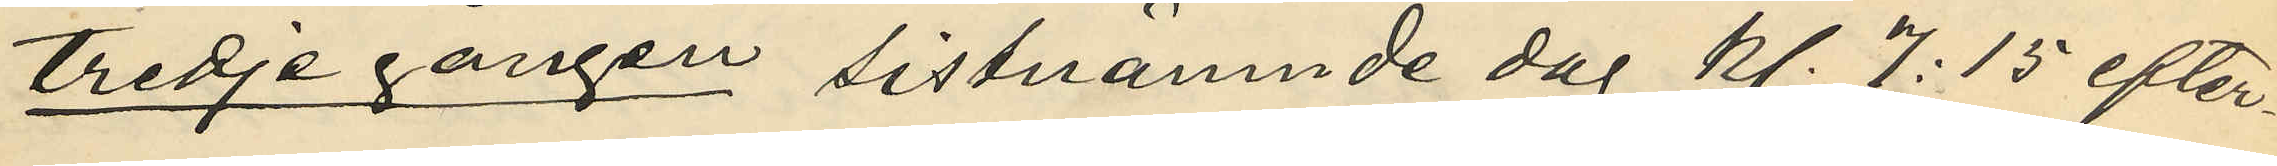tredje gången sistnämnde dag kl. 7:15 efter¬
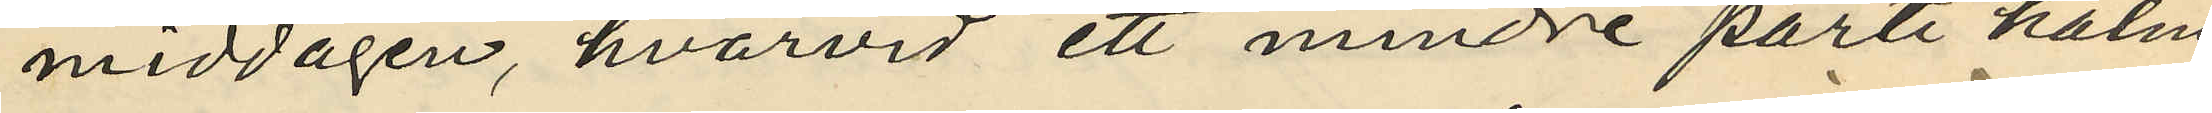middagen, hvarvid ett mindre parti halm
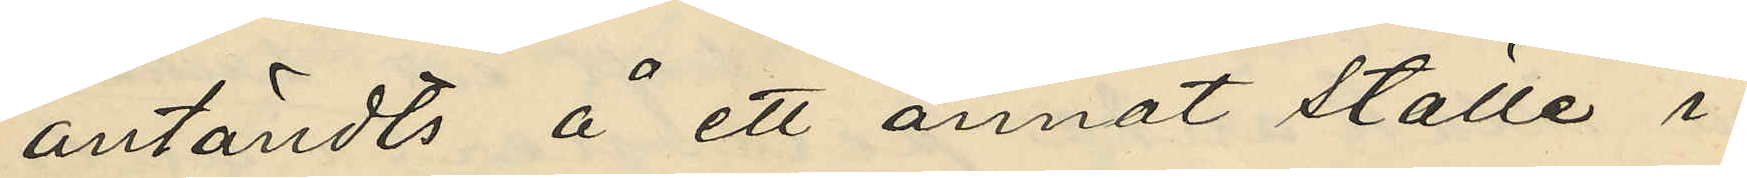antändts å ett annat ställe i
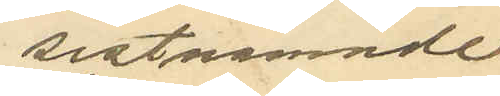sistnämnde
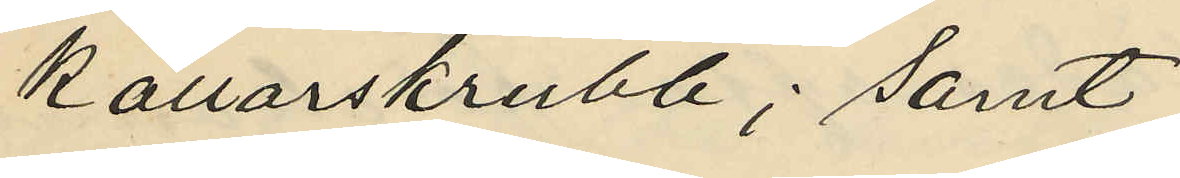källarskrubb; samt
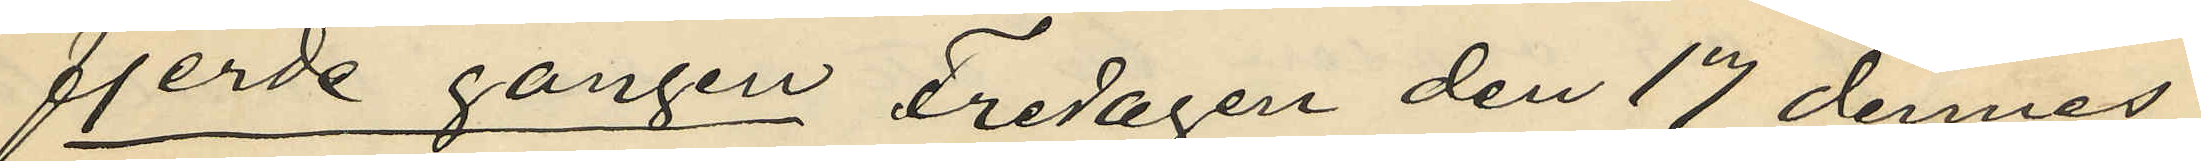fjerde gången Fredagen den 17 dennes
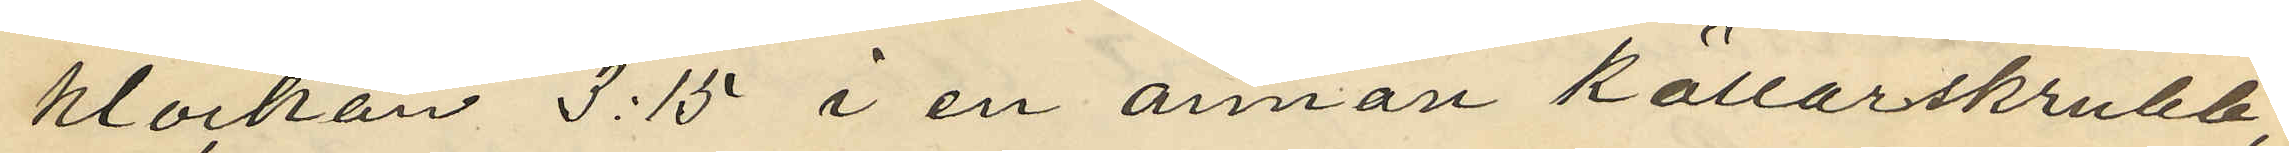klockan 3.15 i en annan källarskrubb,
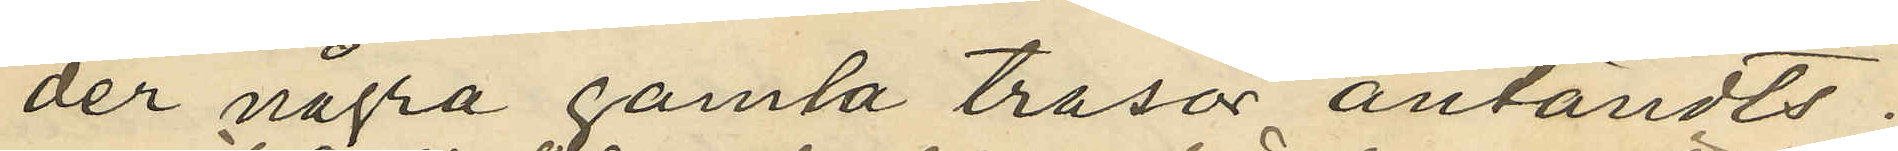der några gamla trasor antändts.
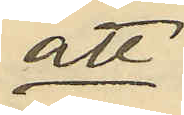att
